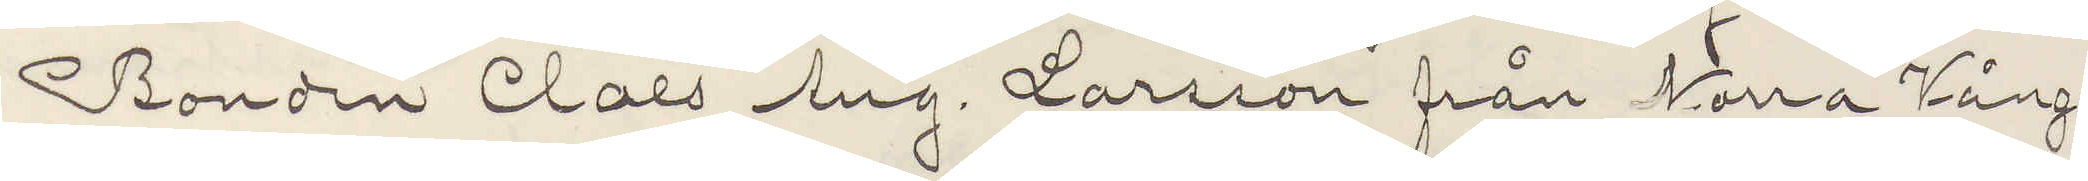Bonden Claes Aug. Larsson från Norra Vånga
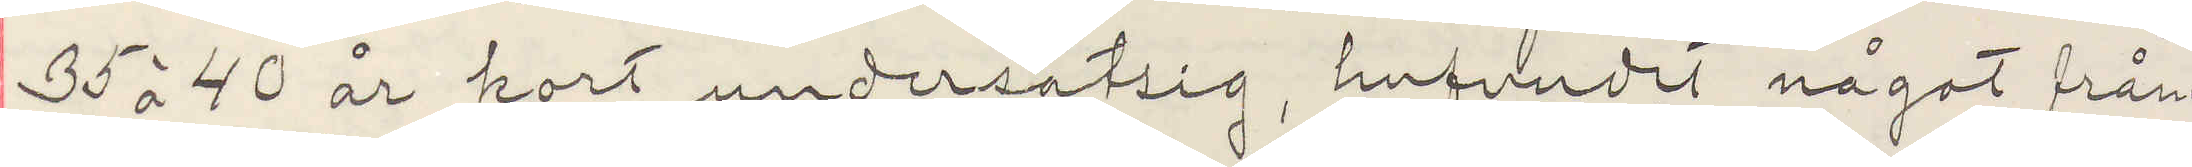35 à 40 år kort undersätsig, hufvudet något fråm¬
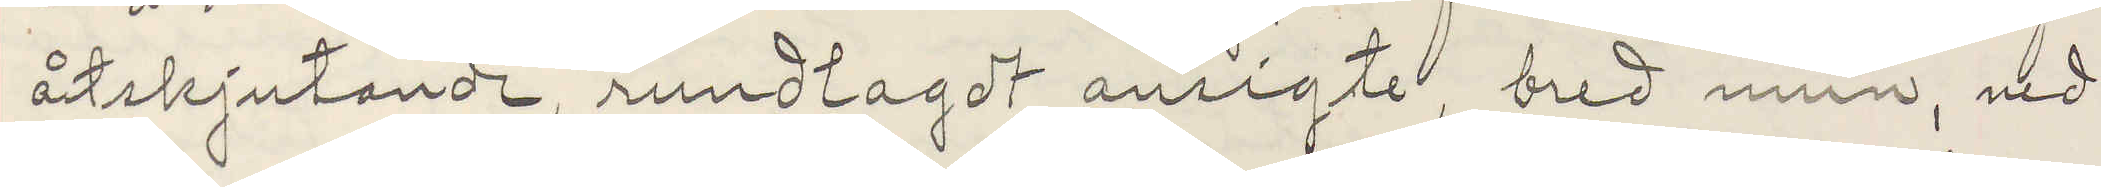åtskjutande, rundlagt ansigte, bred mun, vid¬
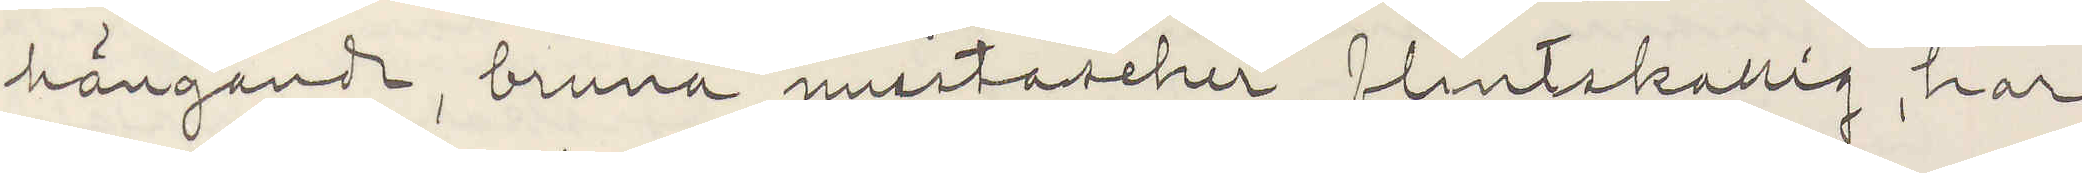hängande, bruna mustascher, flintskallig, har
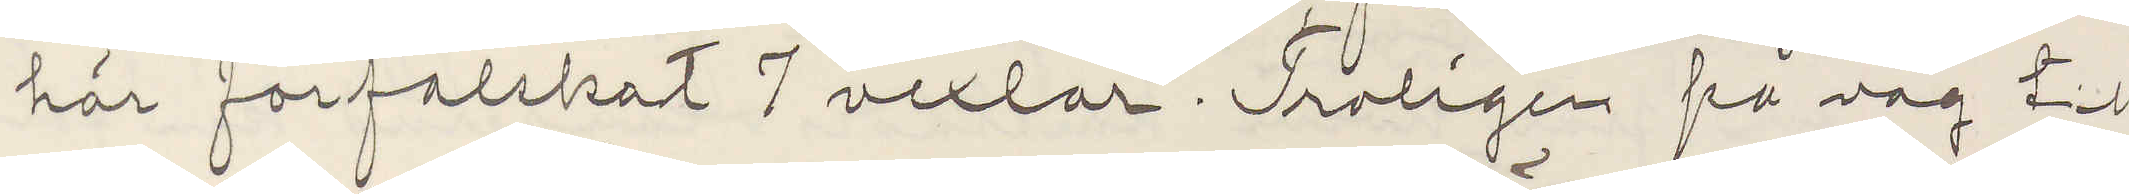här förfalskat 7 vexlar. Troligen på väg till
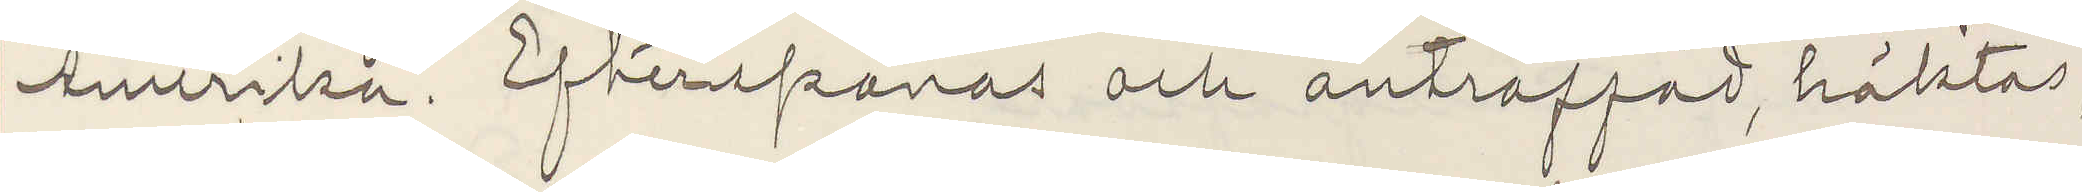Amerika. Efterspanas och anträffad, häktas,
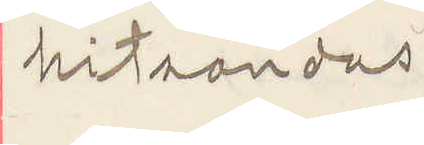hitsändas.
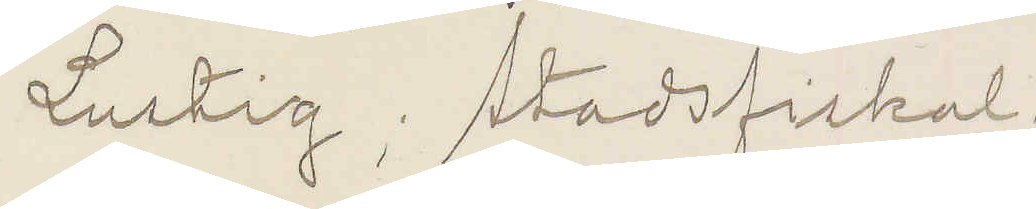Lustig; Stadsfiskal
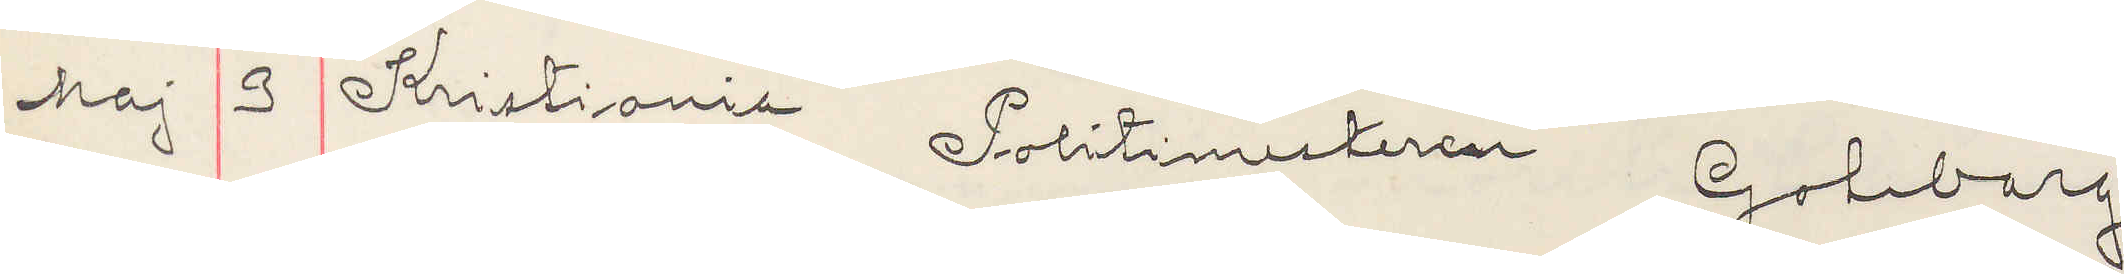Maj 3 Kristiania Politimesteren Goteborg
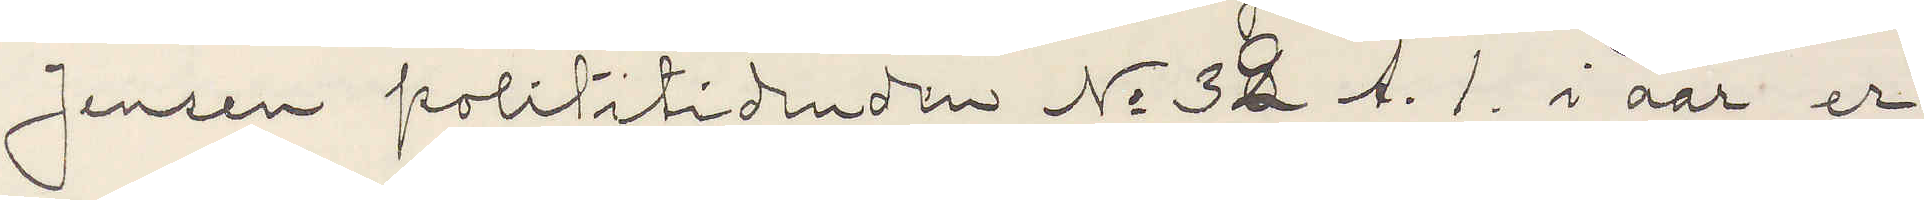Jensen Polititidenden No 32 A.1. i aar er
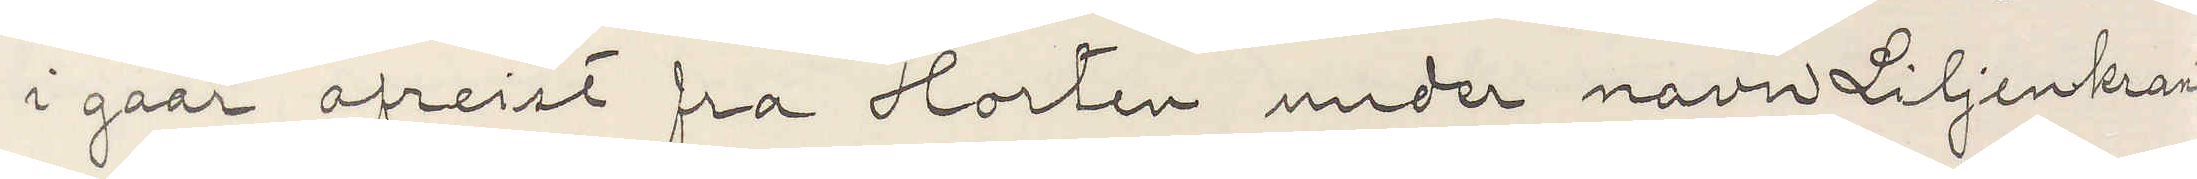i gaar afreist fra Horten under navn Liljenkrantz
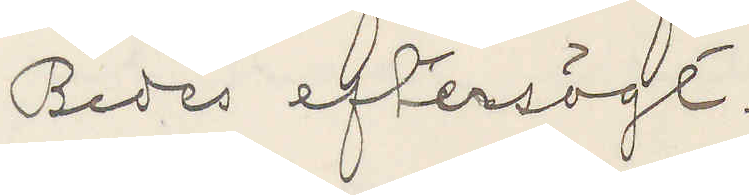Bedes eftersögt.
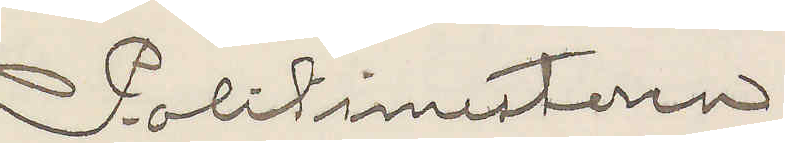Politimesteren.
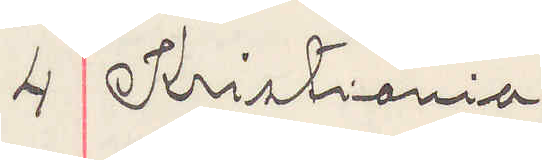4 Kristiania
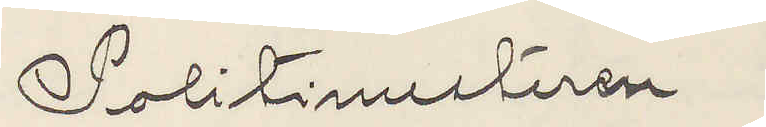Politimesteren
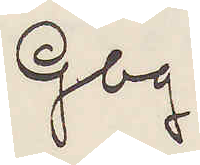Gbg.
